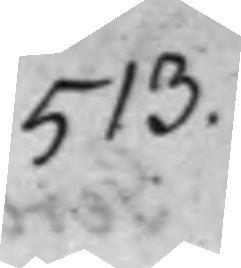513.
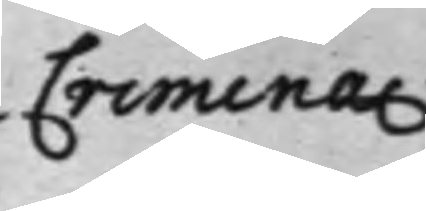Crimina.
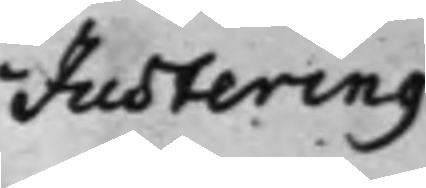Justering
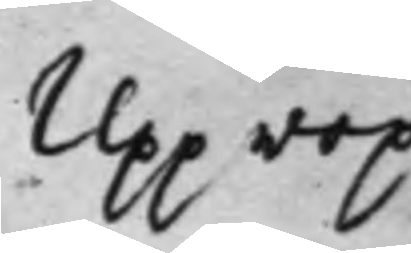Upprop
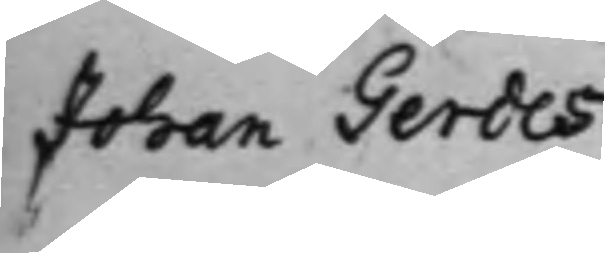Johan Gerdes
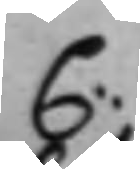C:
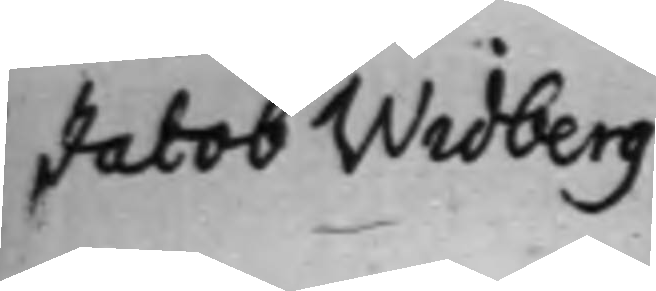Jacob Widberg
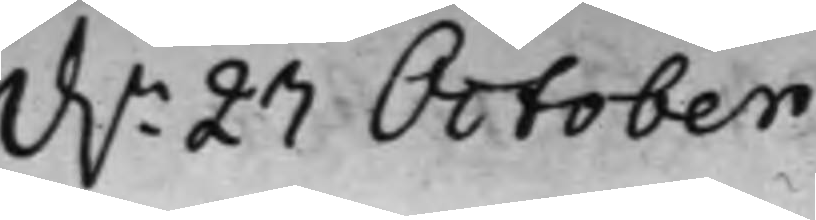d.n 27 October
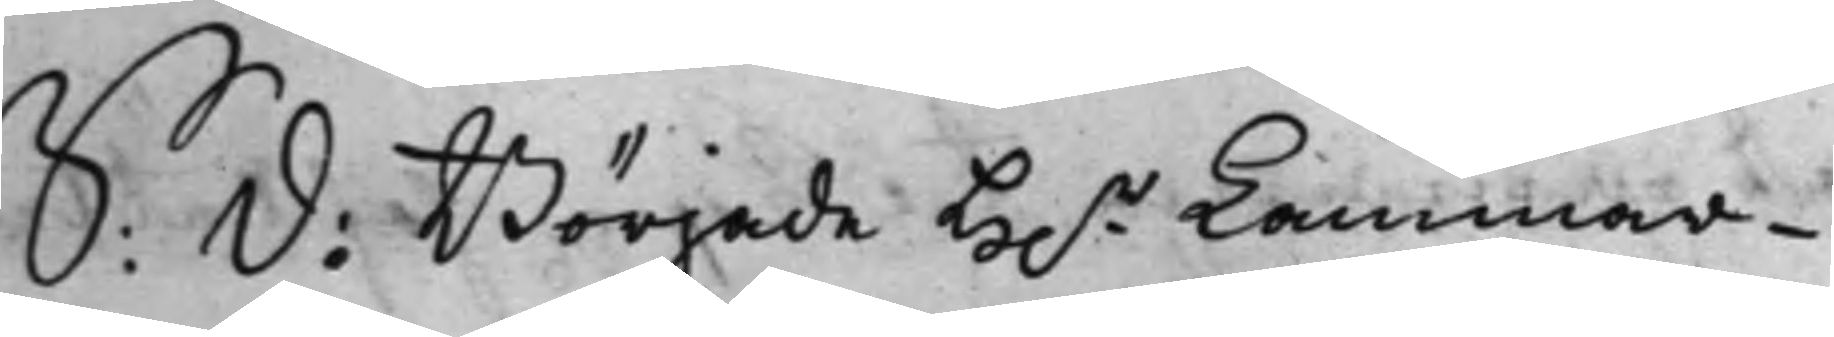S: D: Började H.r Kammar¬
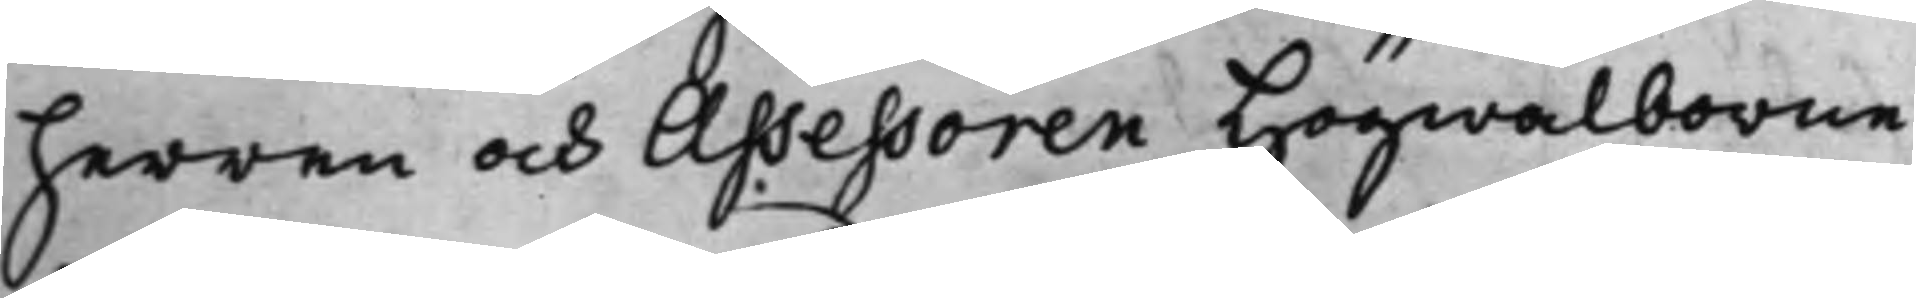herren och Assessoren Högwälborne
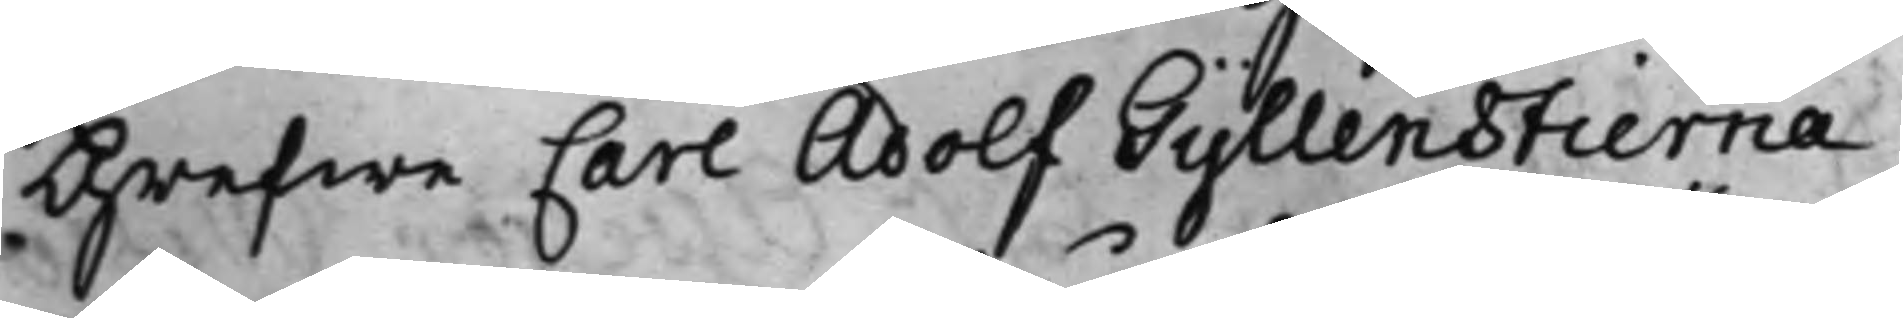Grefwe Carl Adolf Gyllenstierna,
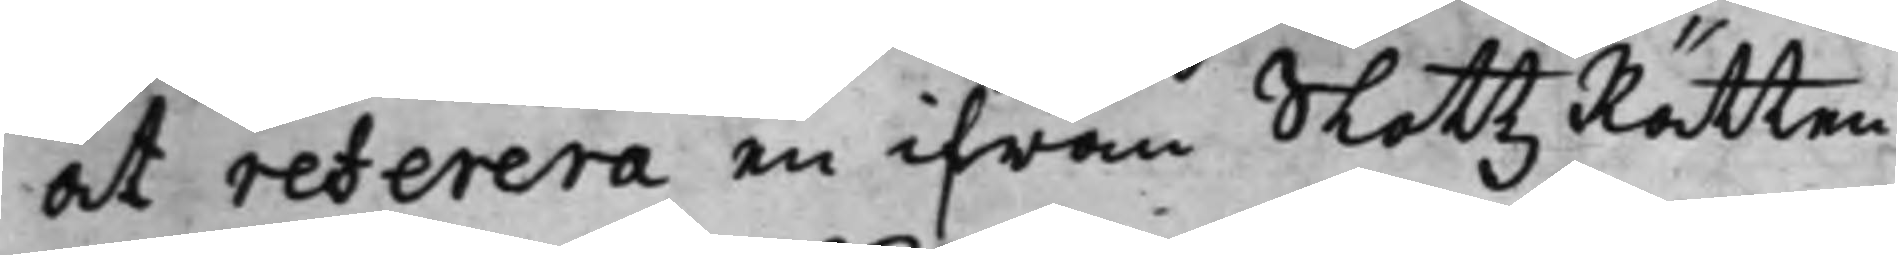at referera en ifrån SlottzRätten
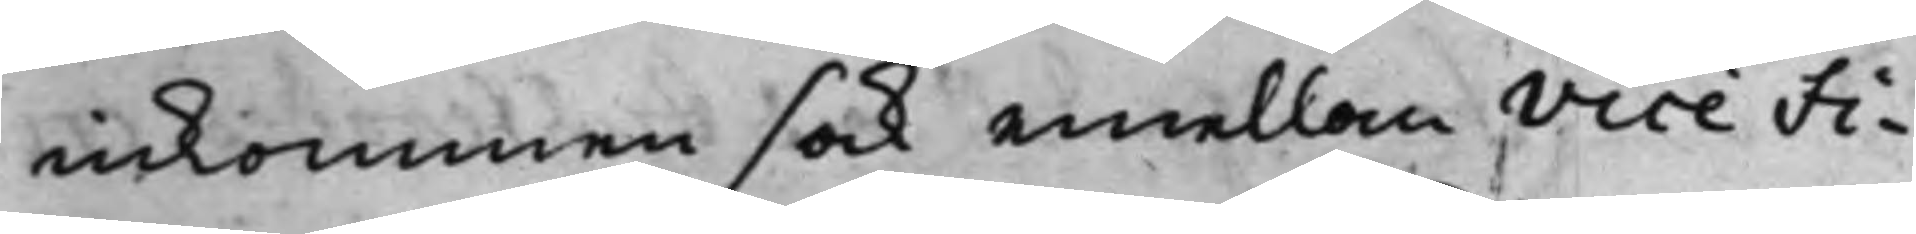inkommen sak emellan Vice Fi¬
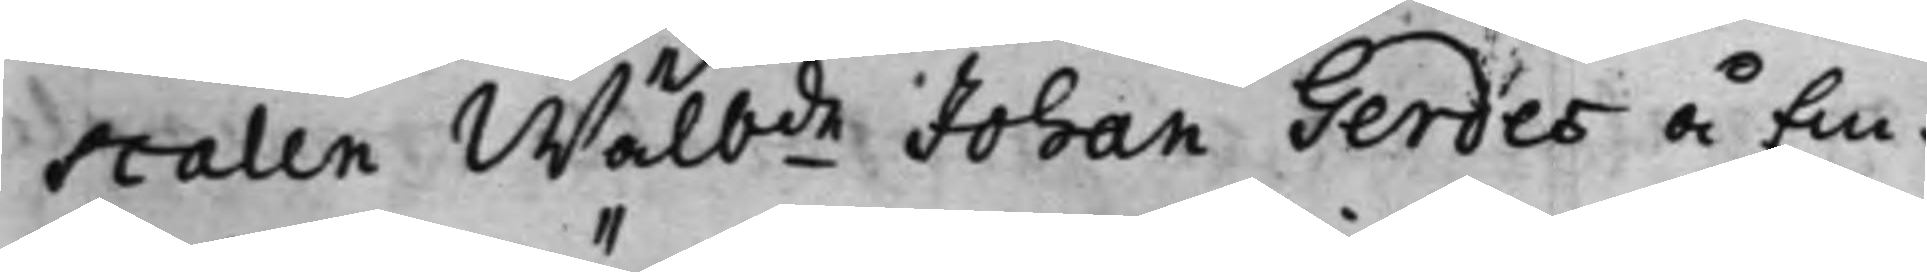scalen Wälbde Johan Gerdes å Em¬
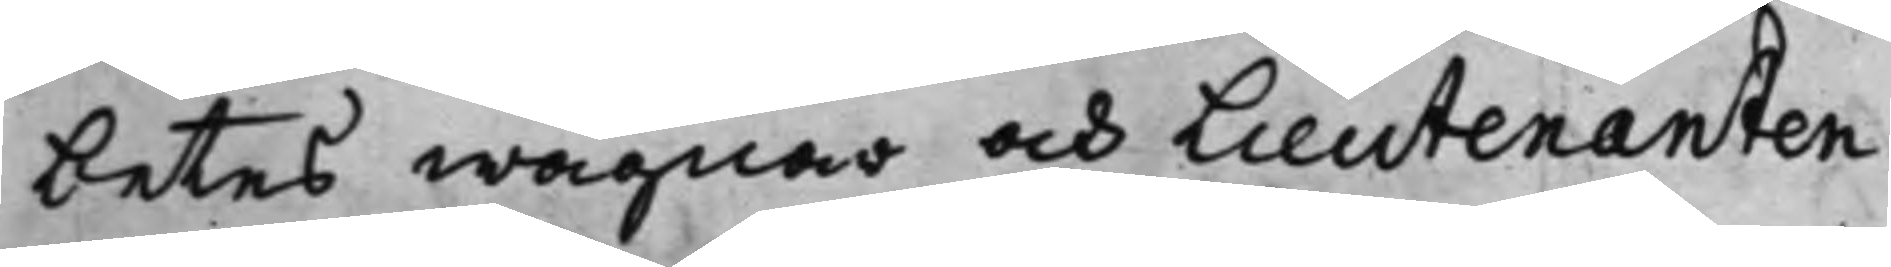betes wägnar och Lieutenanten
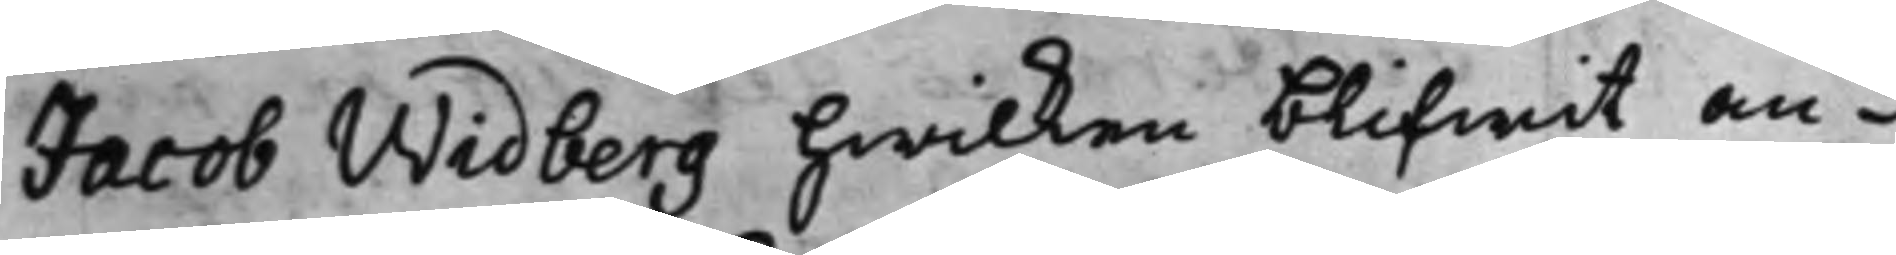Jacob Widberg hwilken blifwit an¬
